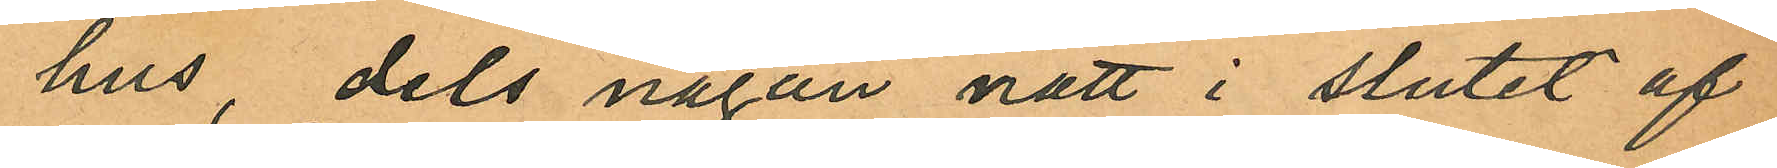hus, dels någon natt i slutet af
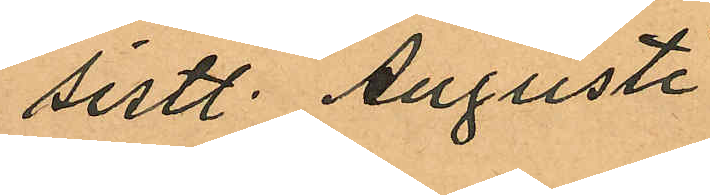sistl. Augusti
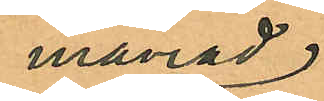månad
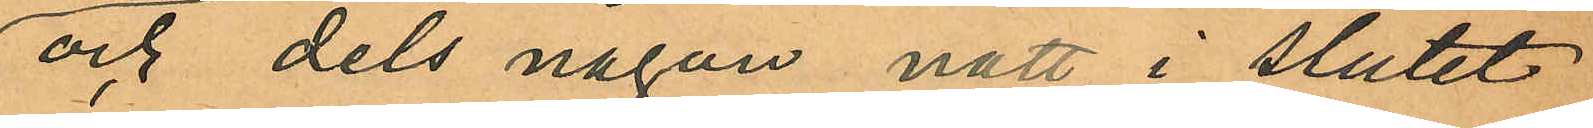och dels någon natt i slutet
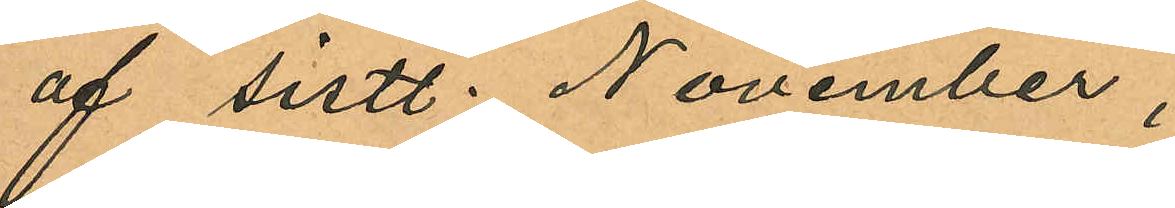af sistl. November;
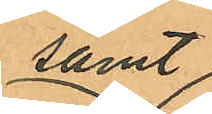samt
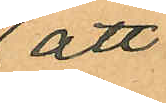att
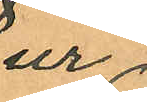ur
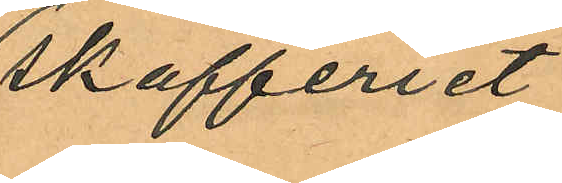att skafferiet
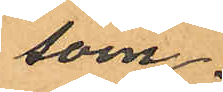som
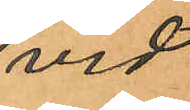vid
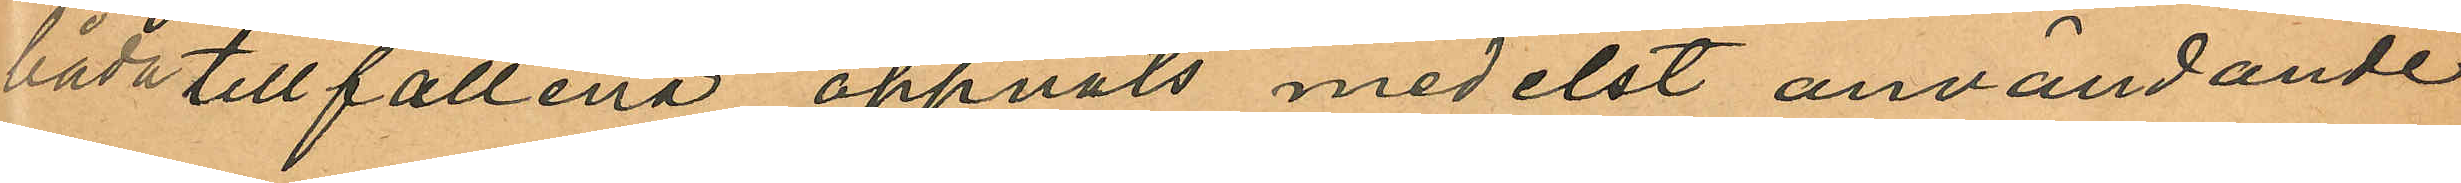båda tillfällena öppnats medelst användande
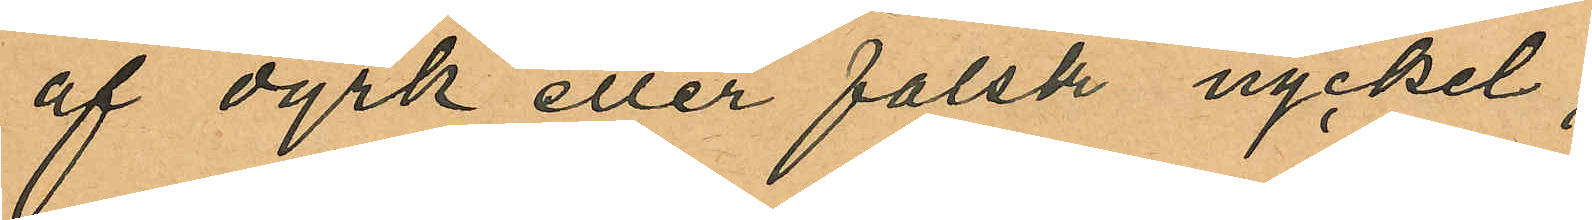af dyrk eller falsk nyckel;
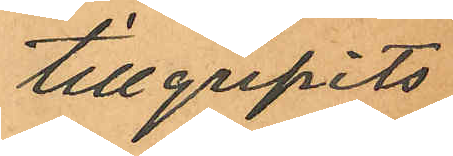tillgripits
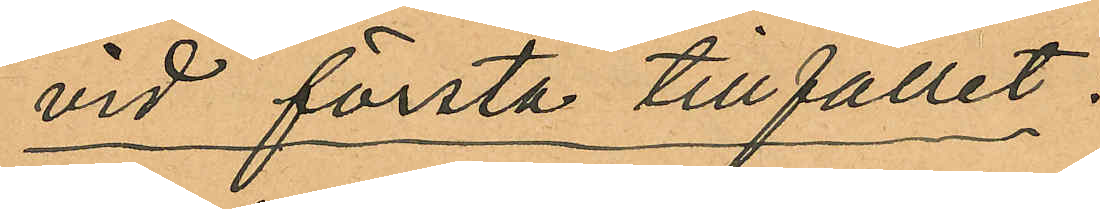vid första tillfället:
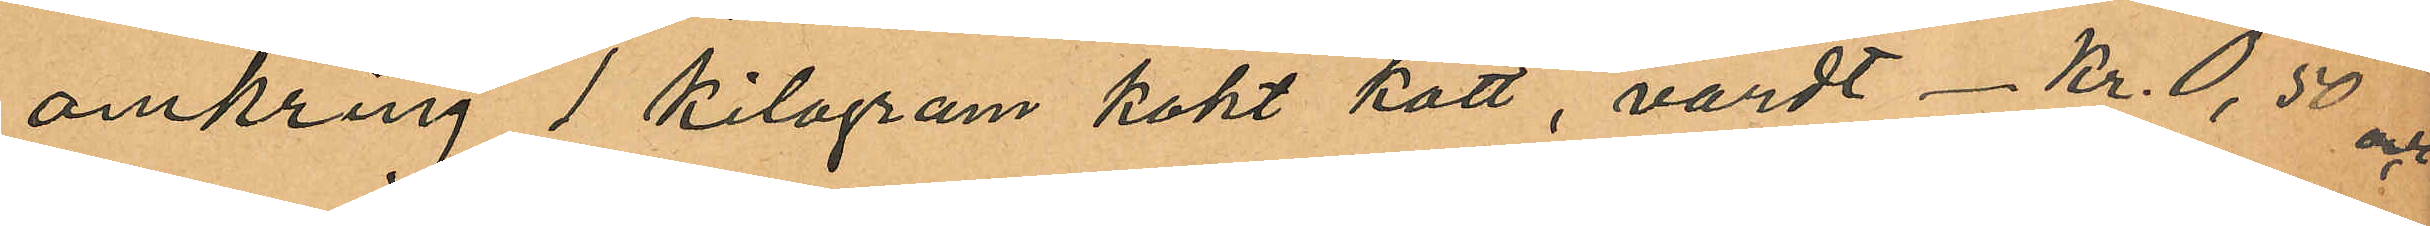omkring 1 kilogram kokt kött, värdt Kr. 0,50 och
